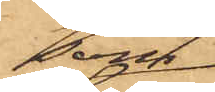som
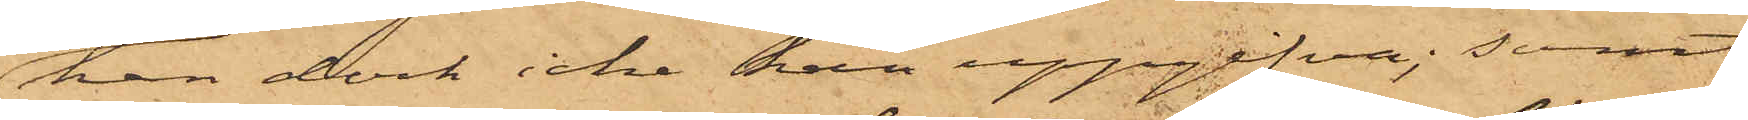han dock icke han uppgifva; samt
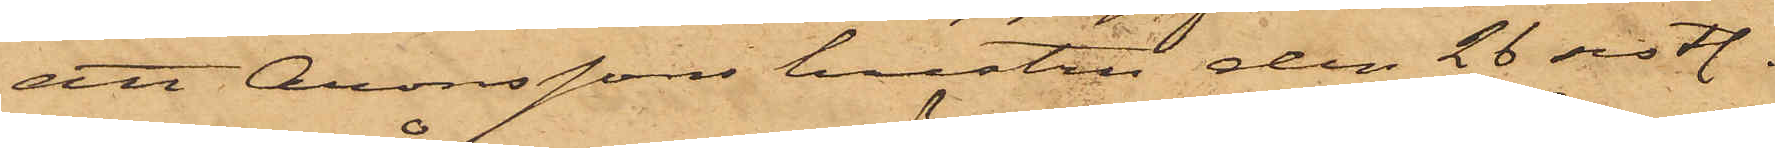att Aronssons hustru den 26 sist.
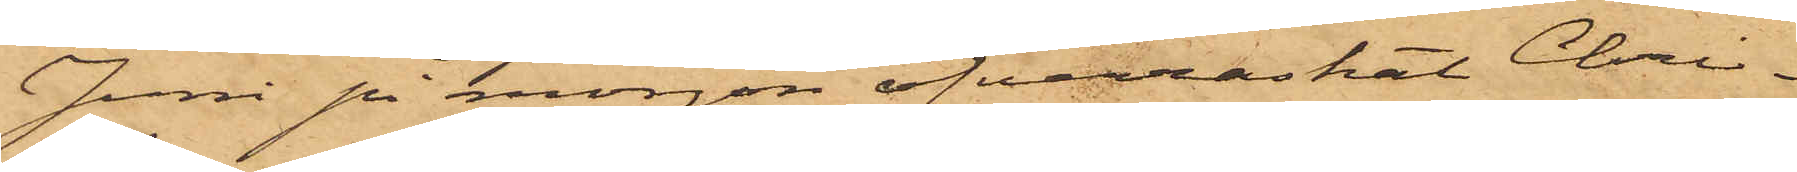Juni på morgon öfverraskat Chri¬
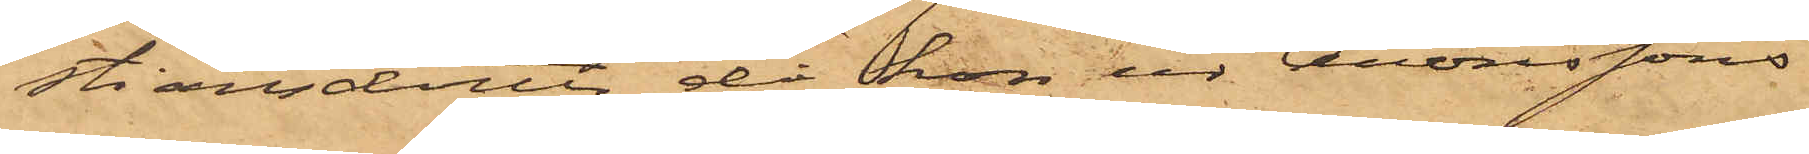stiansdotter då hon ur Aronssons
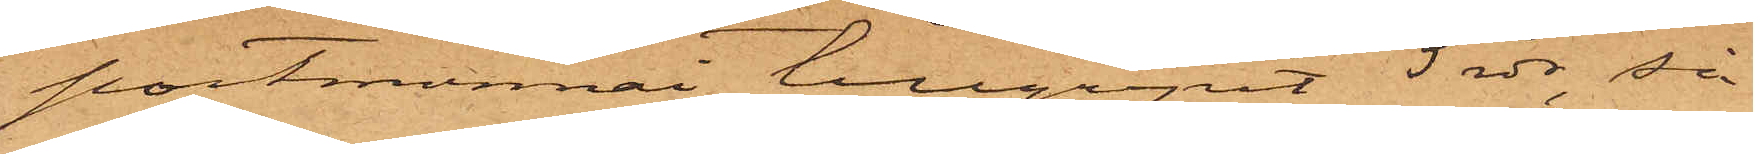portmonnai tillgripit 5 rdr, så
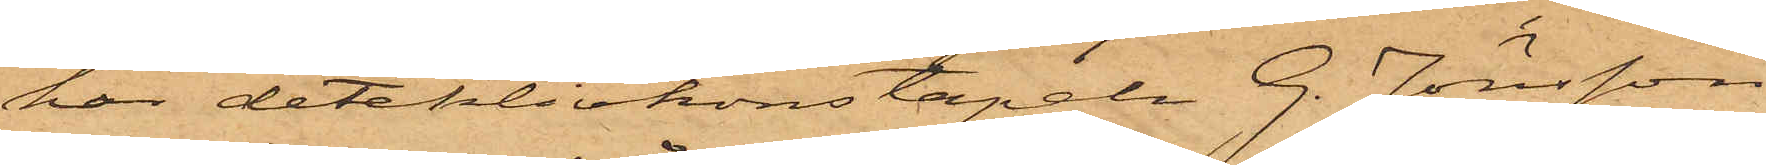har detektivkonstapeln G. Jönsson
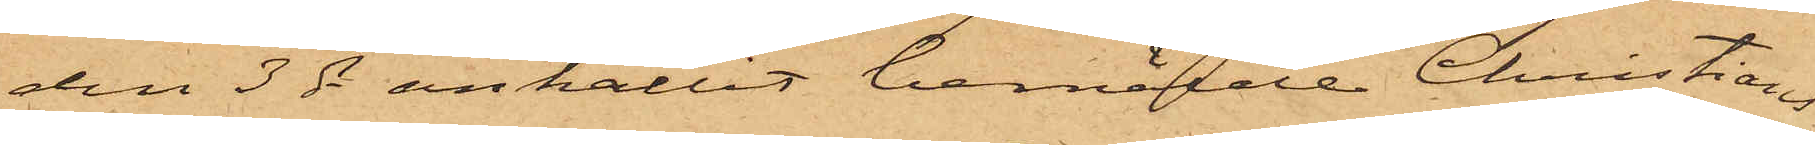den 3 ds anhållit bemälde Christians¬
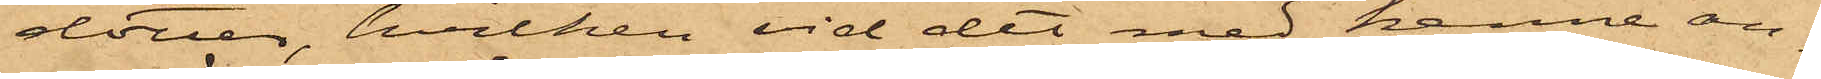dotter, hvilken vid det med henne an¬
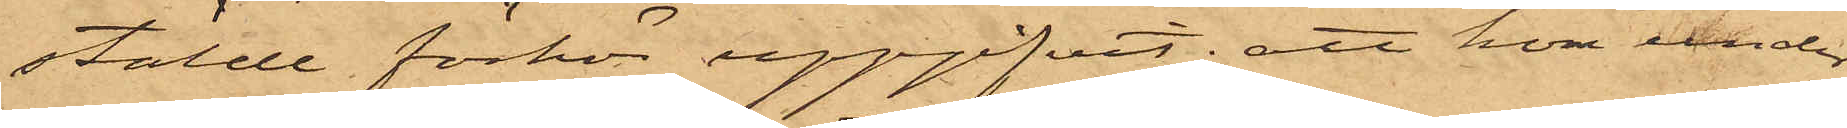stälde förhör uppgifvit; att hon under
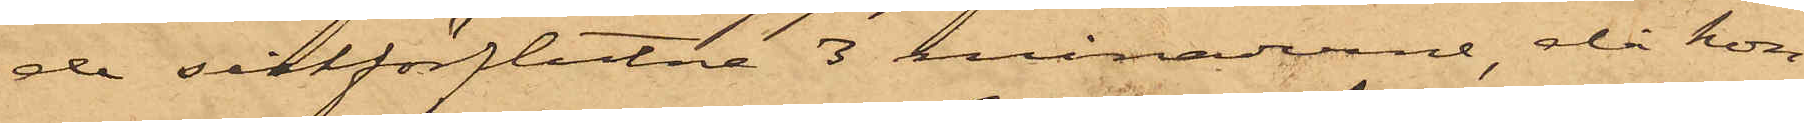de sistförflutne 3 månaderne, då hon
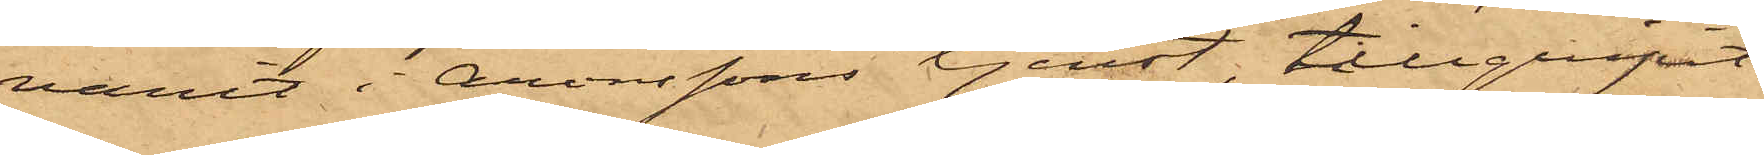varit i Aronssons tjenst, tillgripit
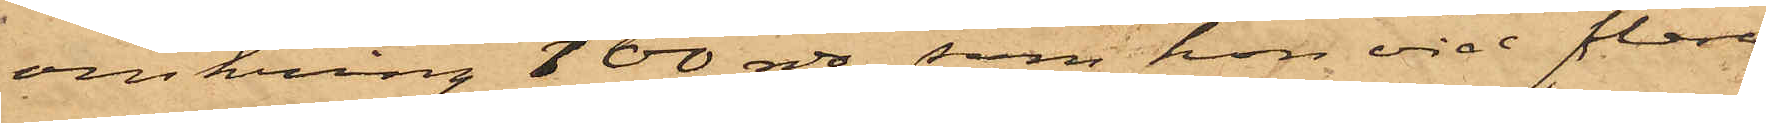omkring 100 rdr, som hon vid flera
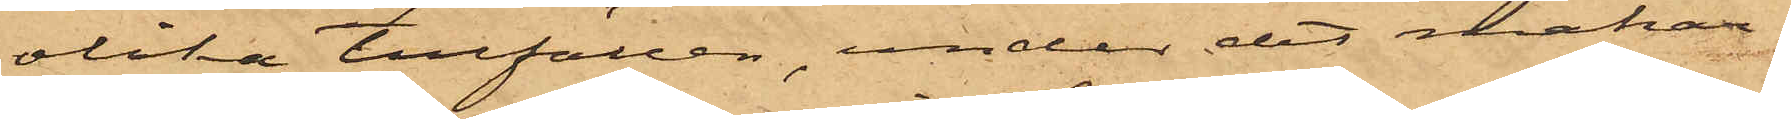olika tillfällen, under det makar¬
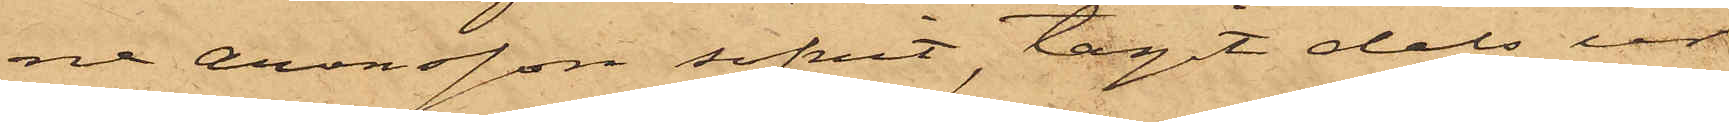ne Aronsson sofvit, tagit dels ur
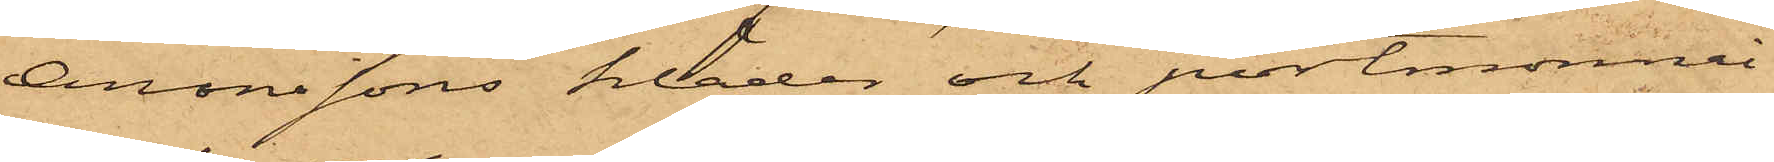Aronssons kläder och portmonnai
